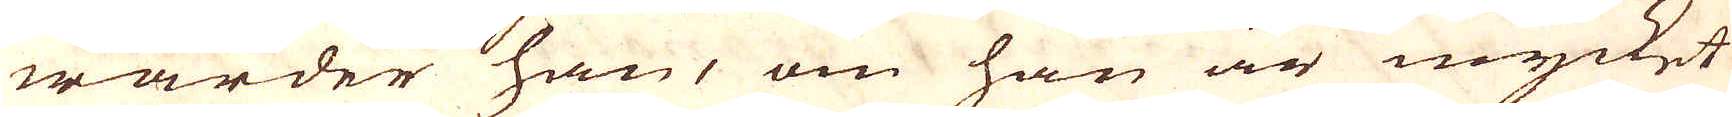warder han, om han är mycket
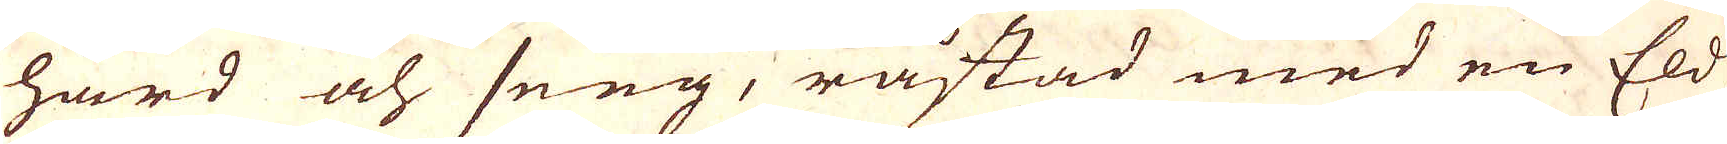hård och seeg, råstad med en Eld,
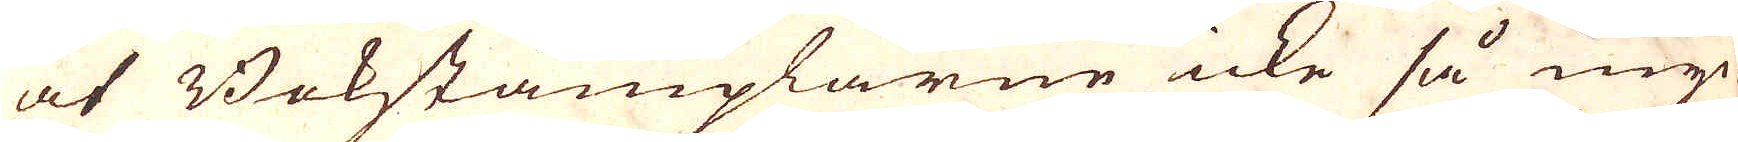at Bokstämplarne icke så myc-
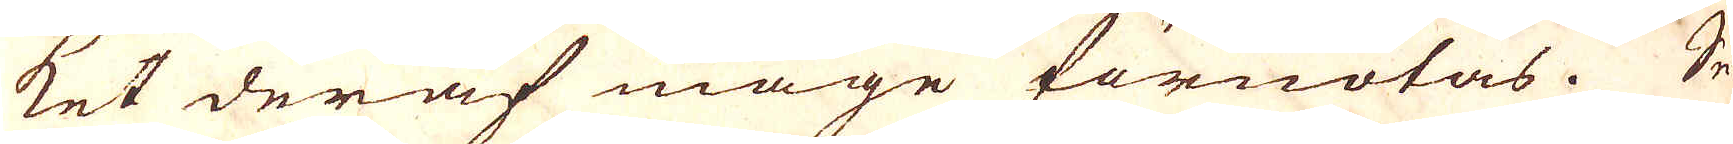ket deraf måge förnötas. Se-
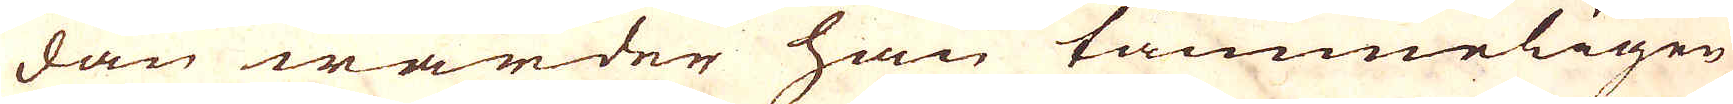dan warder han tämmeligen
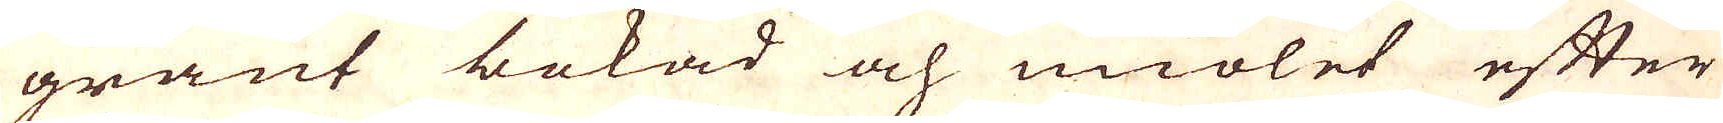grant bokad och miölet efter
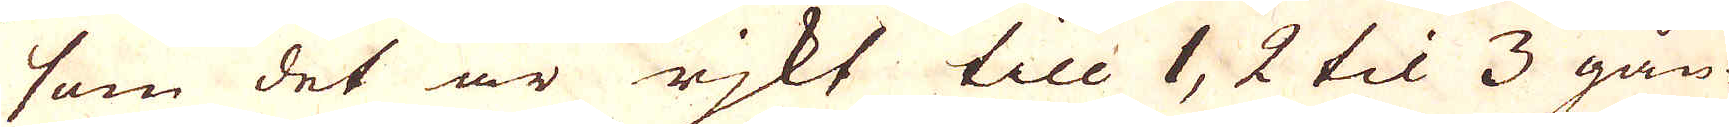som det är rikt till 1, 2 til 3 gån-
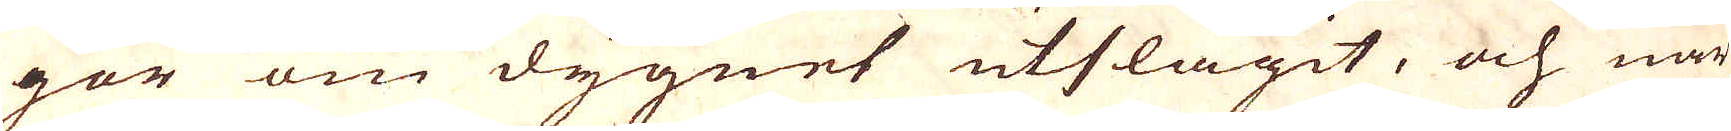gor om dygnet utslagit, och när
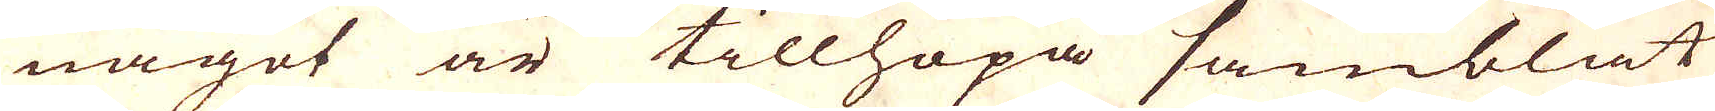något är tillhopa samblat
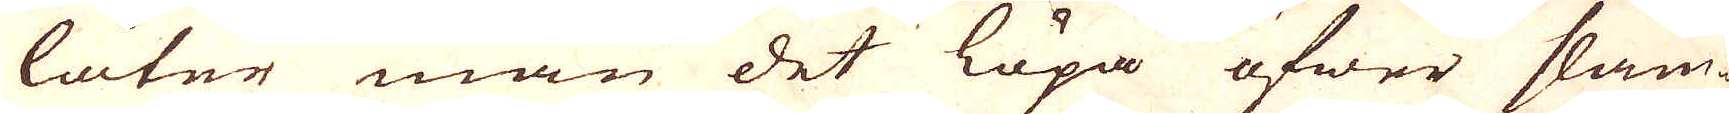låter man det löpa öfwer slam-
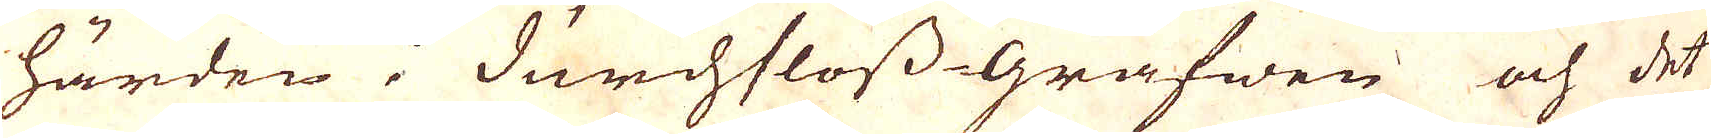härden i durchsloss-grafwen och det
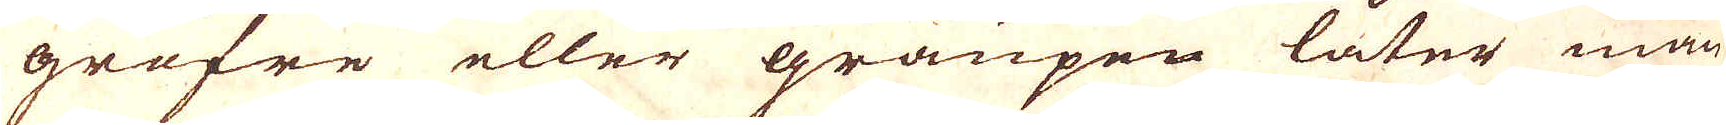gröfre eller graupen låter man
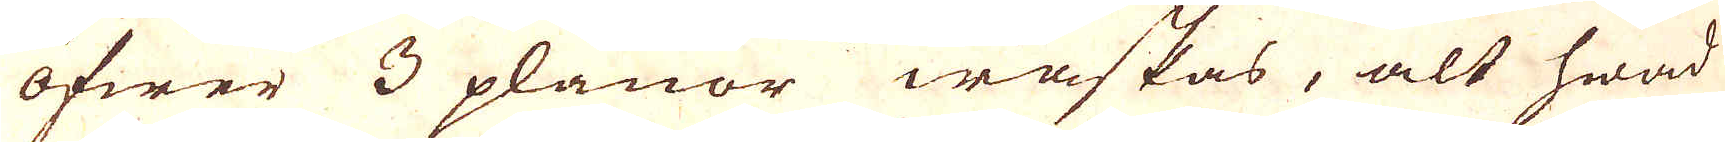öfwer 3 planor waskas, alt hwad
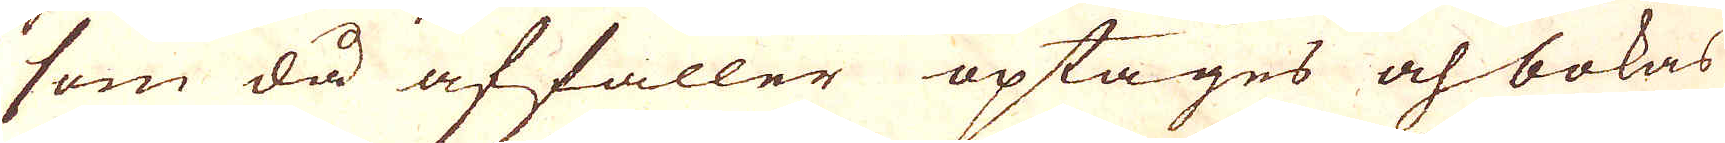som då affaller optages och bokas
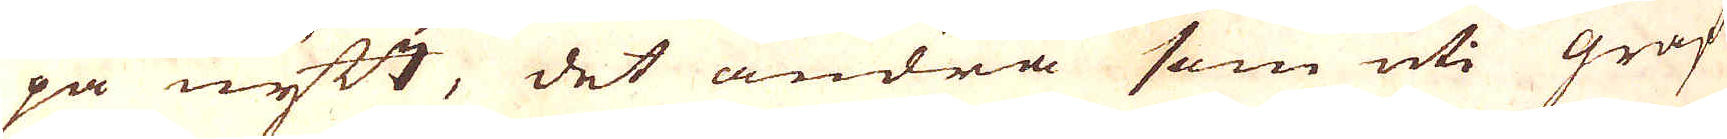på nytt, det andra som uti graf-
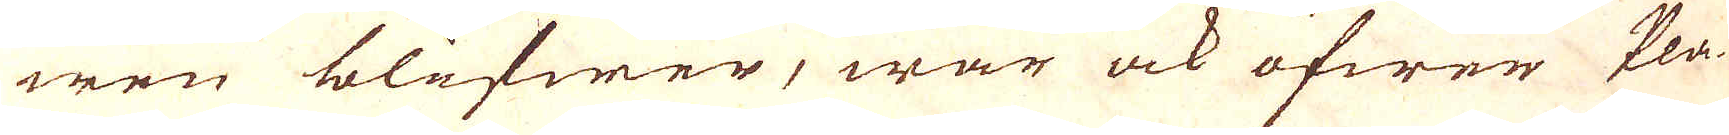wen blifwer, war ock öfwer Pla-
